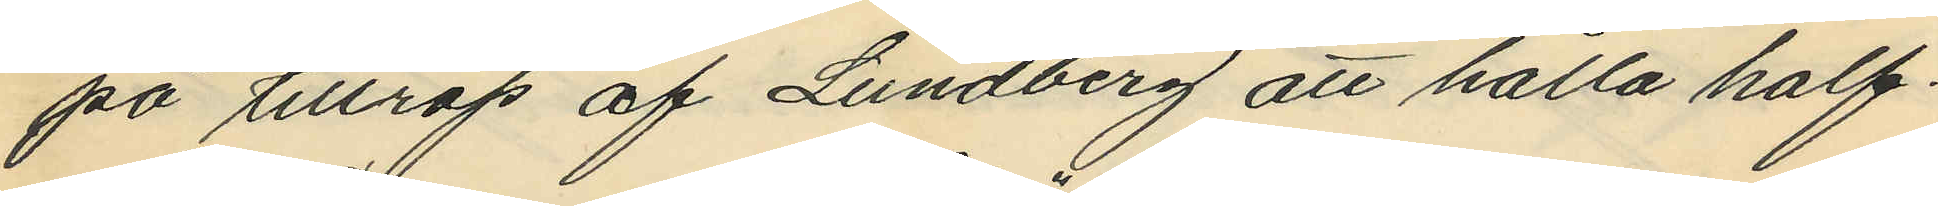på tillrop af Lundberg att hålla half¬
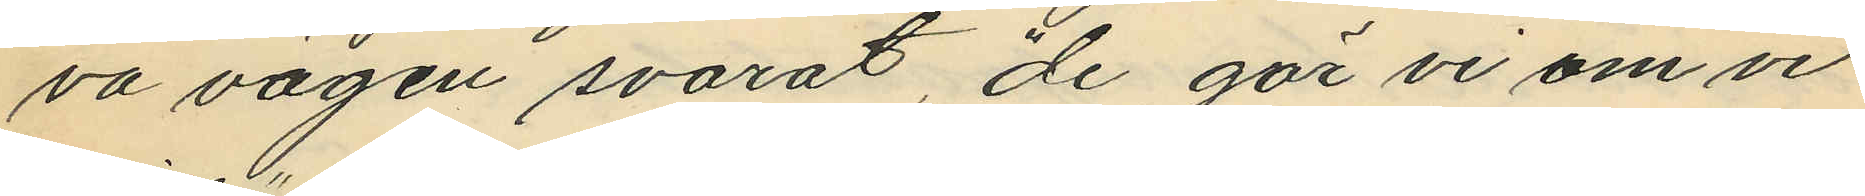va vägen svarat, "de gör vi om vi
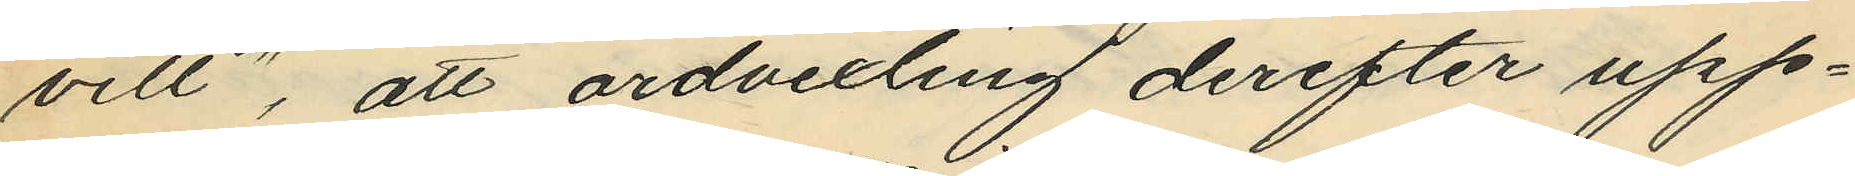vill", att ordvexling derefter upp¬
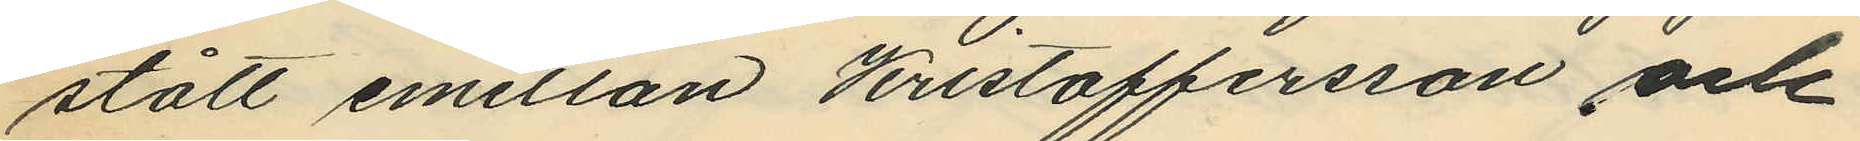stått emellan Kristoffersson och
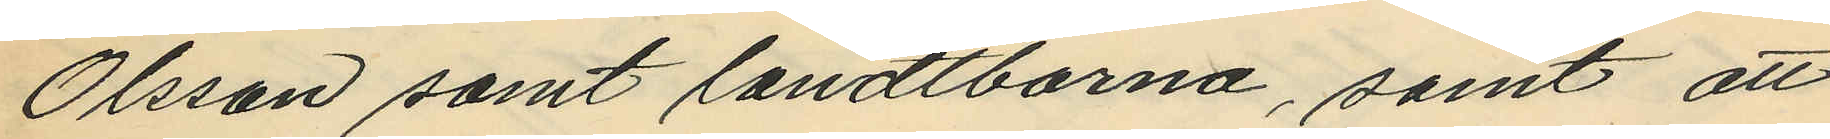Olsson samt landtborna, samt att
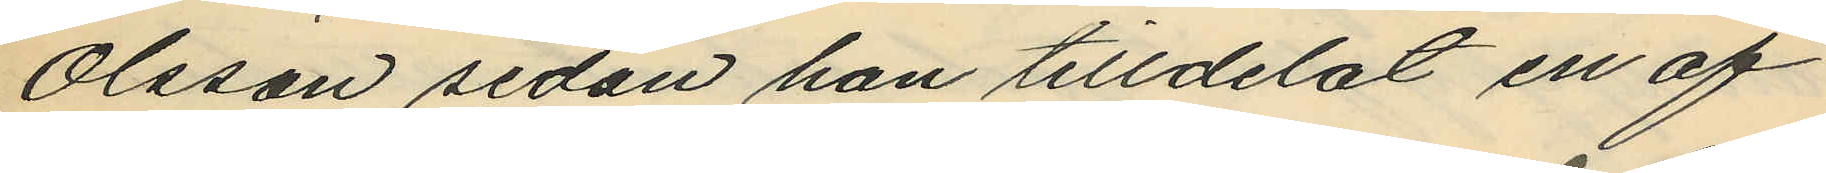Olsson sedan han tilldelat en af
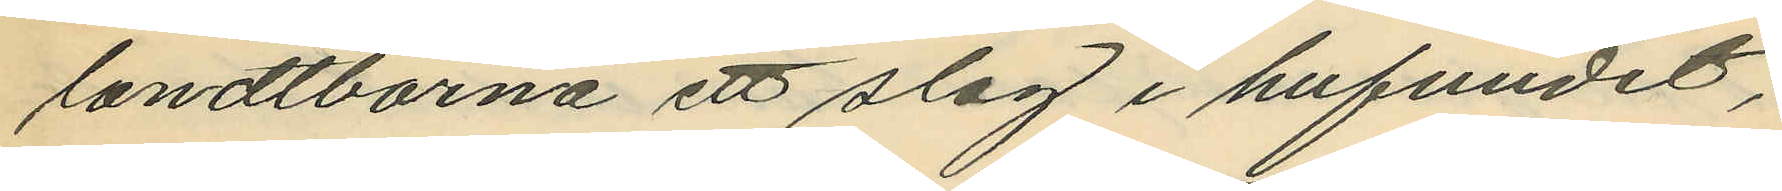landtborna ett slag i hufvudet,
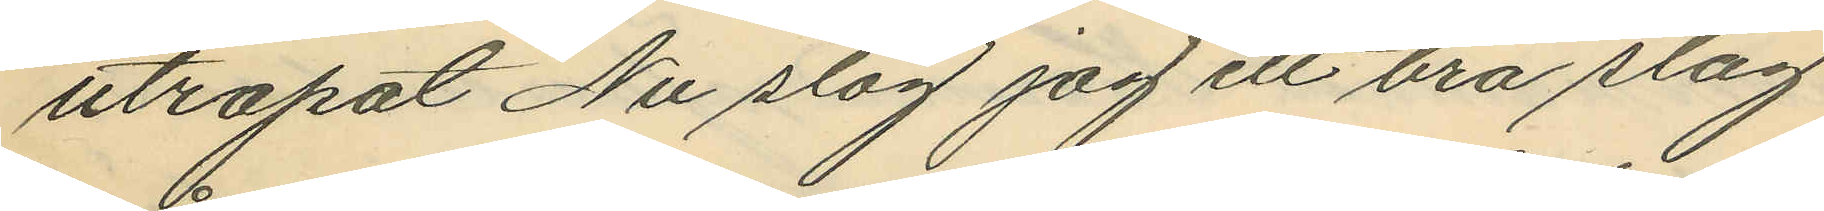utropat Nu slog jag ett bra slag
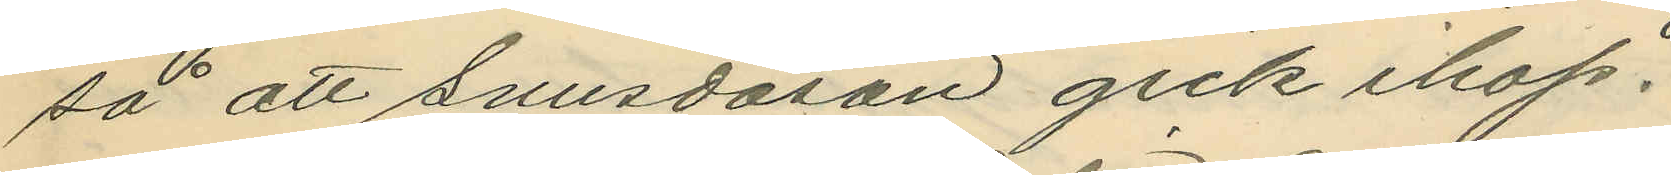så att snusdosan gick ihop
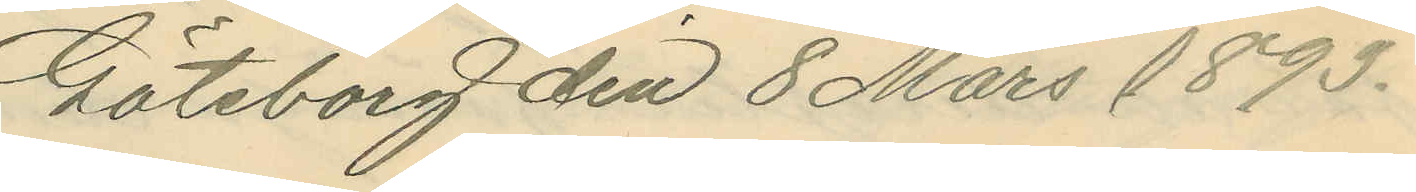Göteborg den 8 Mars 1893.
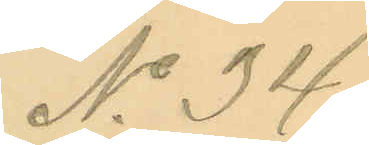No 34.
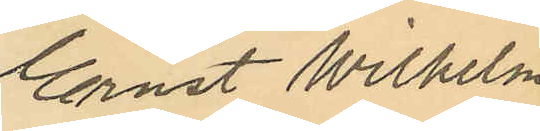Ernst Wilhelm
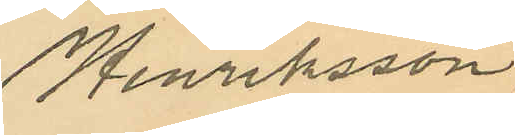Henriksson.
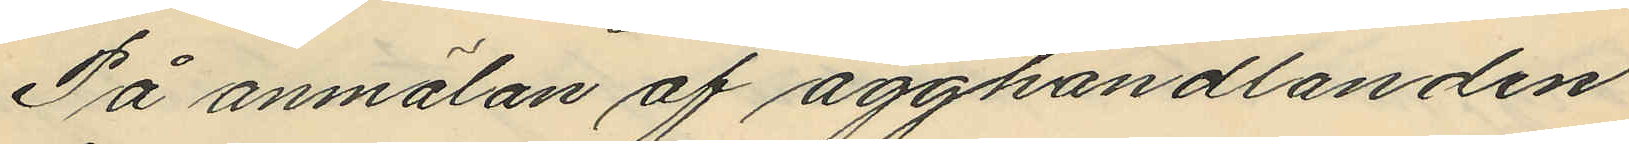På anmälan af ägghandlanden
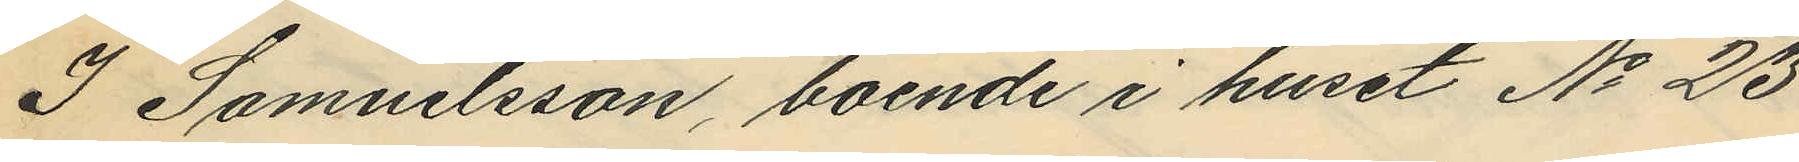I Samuelsson, boende i huset No 23
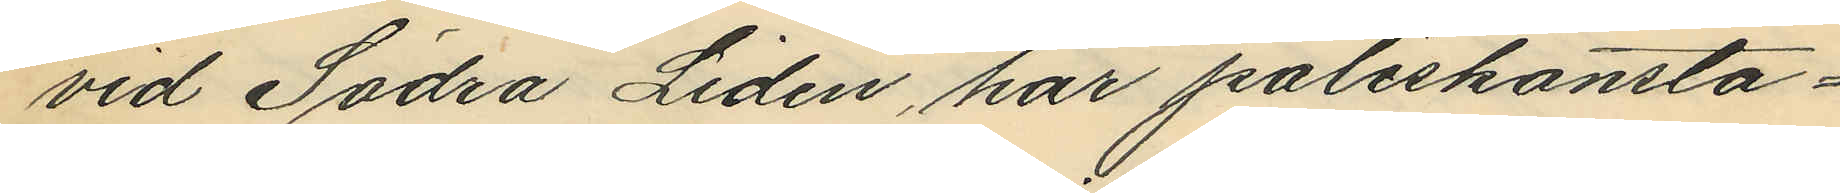vid Södra Liden, har poliskonsta¬
